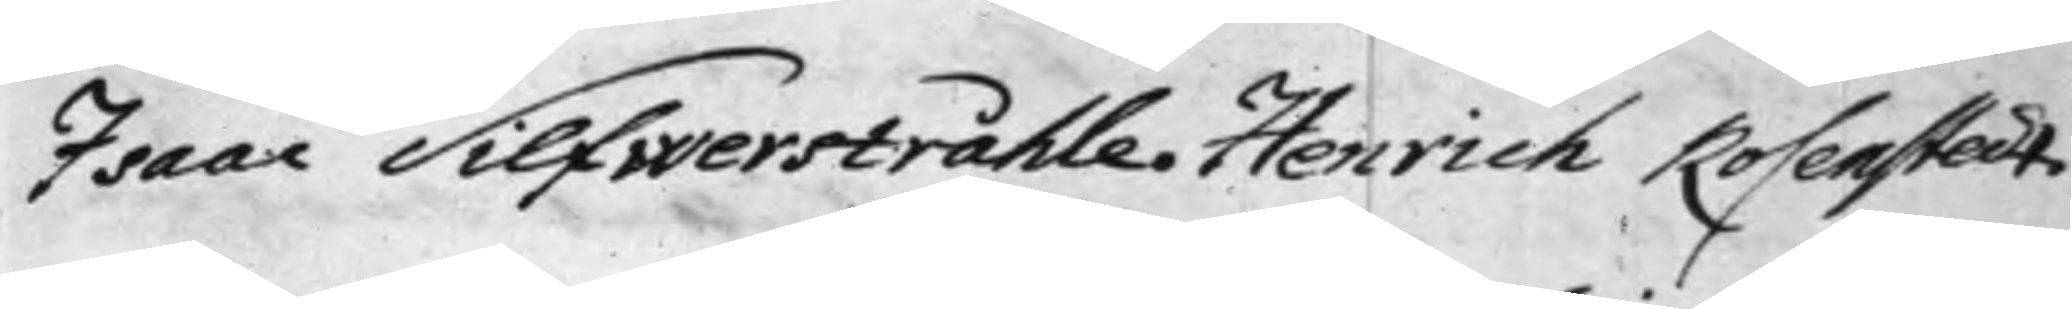Isaac Silfwerstråhle. Henrich Rosenstedt.
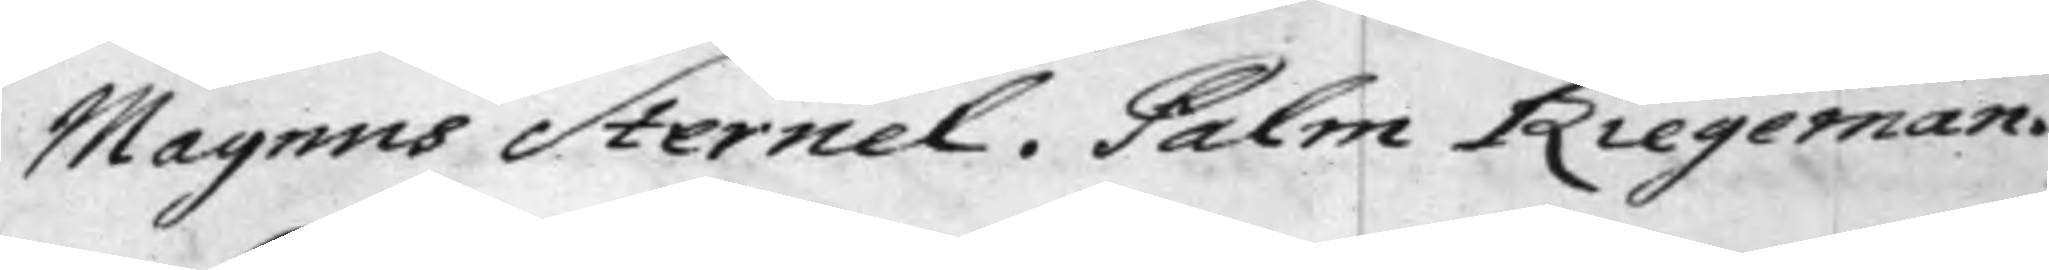Magnus Sternel. Palm Riegeman.
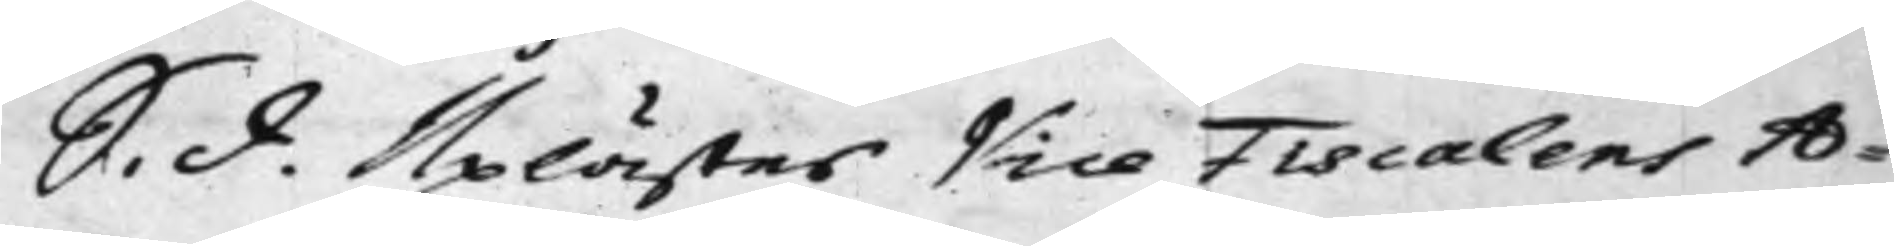S. d. Uplästes Vice Fiscalens A¬
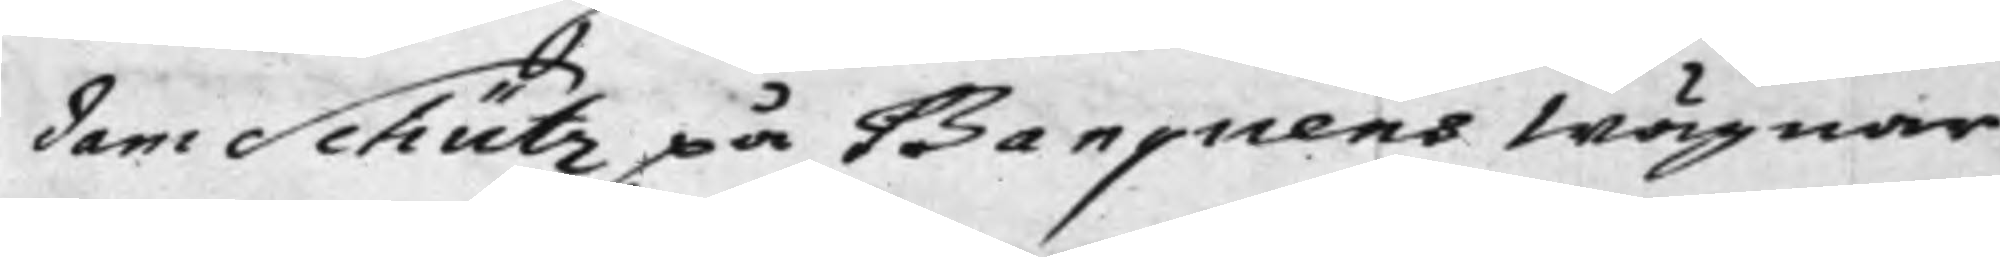dam Schütz på Banquens Wägnar
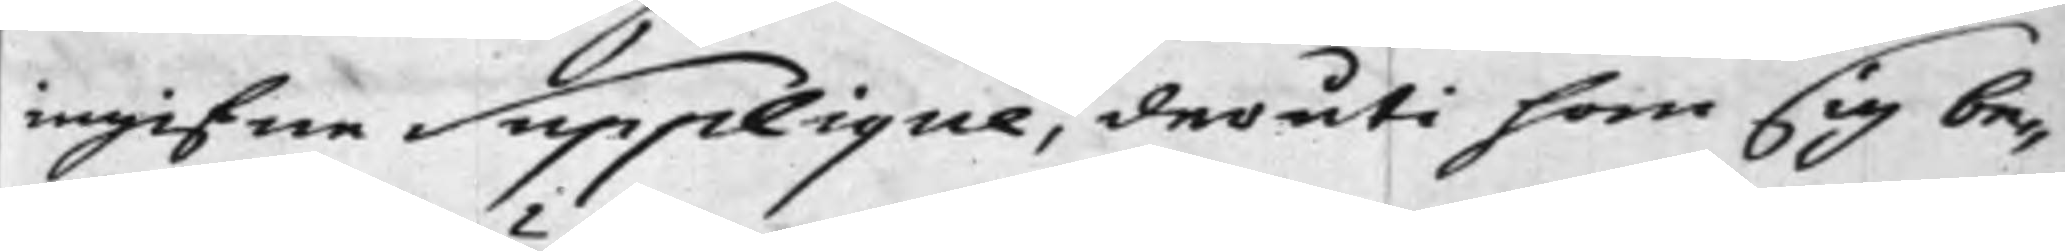ingifne Supplique, deruti han sig be¬
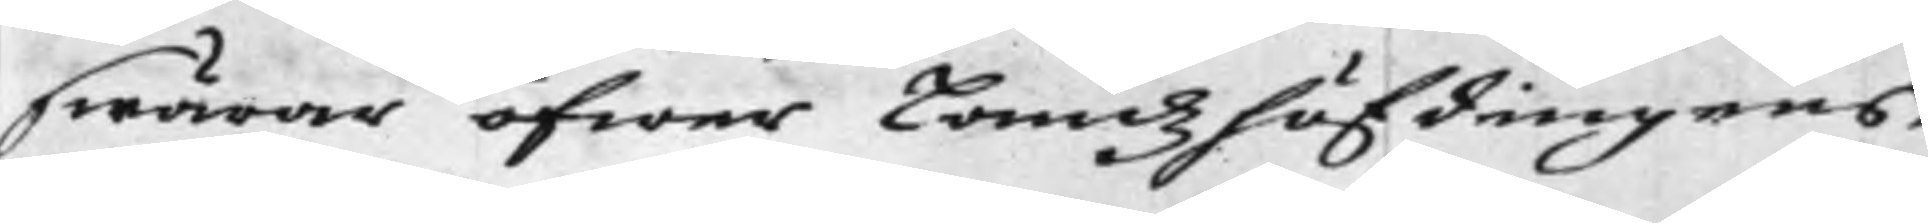swärar öfwer Landz höfdingens,
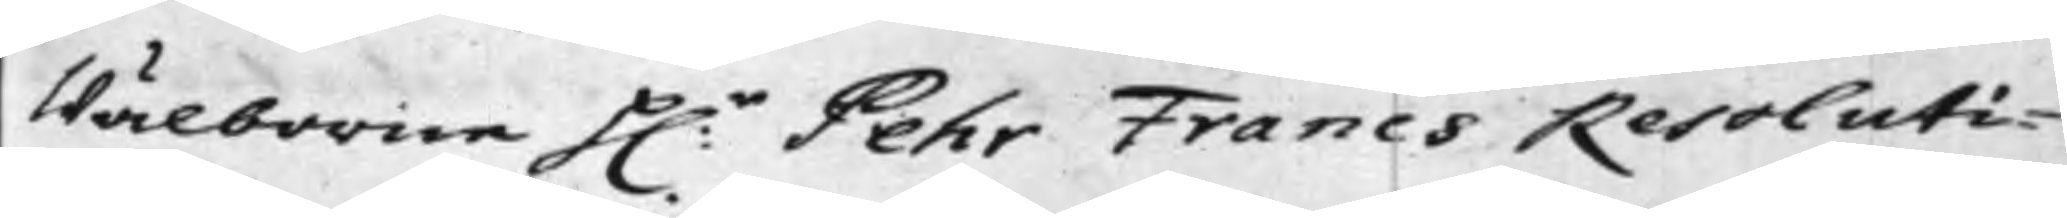Wälborne h:r Pehr Francs Resoluti¬
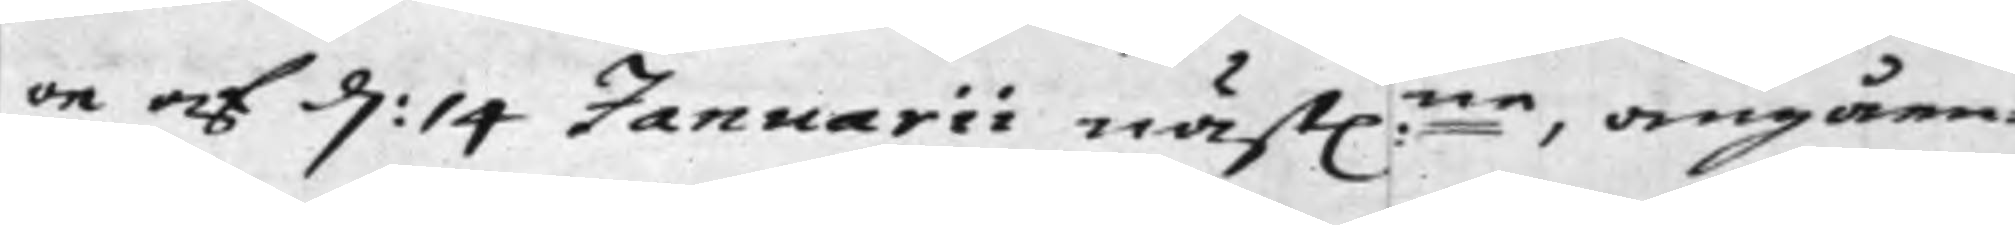on af d: 14 Januarii näst:ne, angåen¬
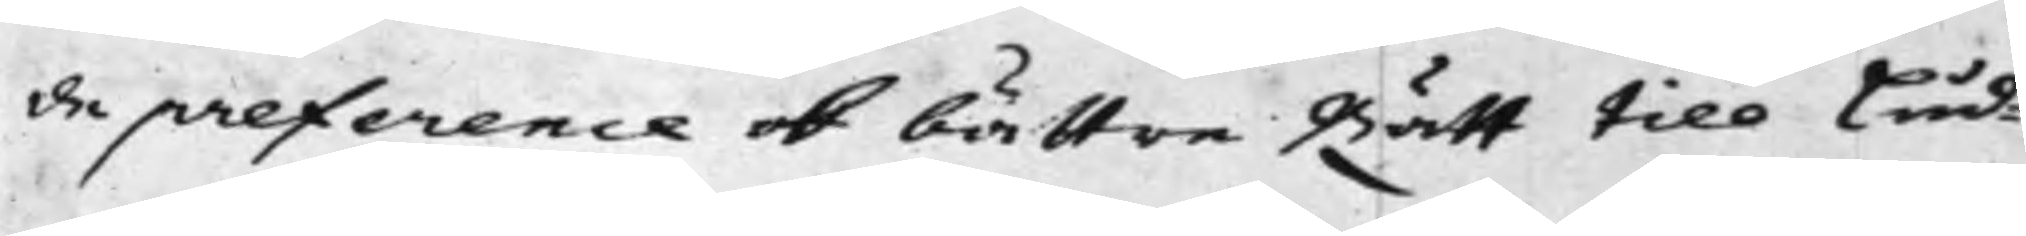de preference och bättre Rätt till Lud¬
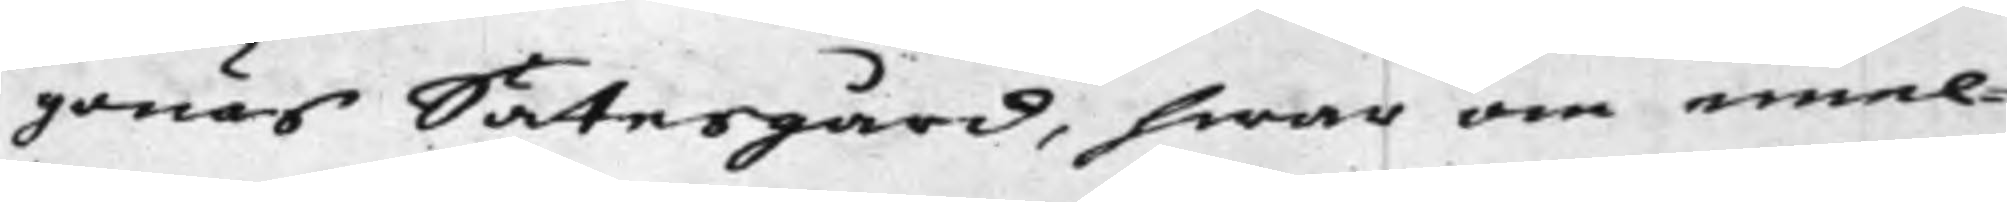gonäs Sätesgård, hwar om emel¬
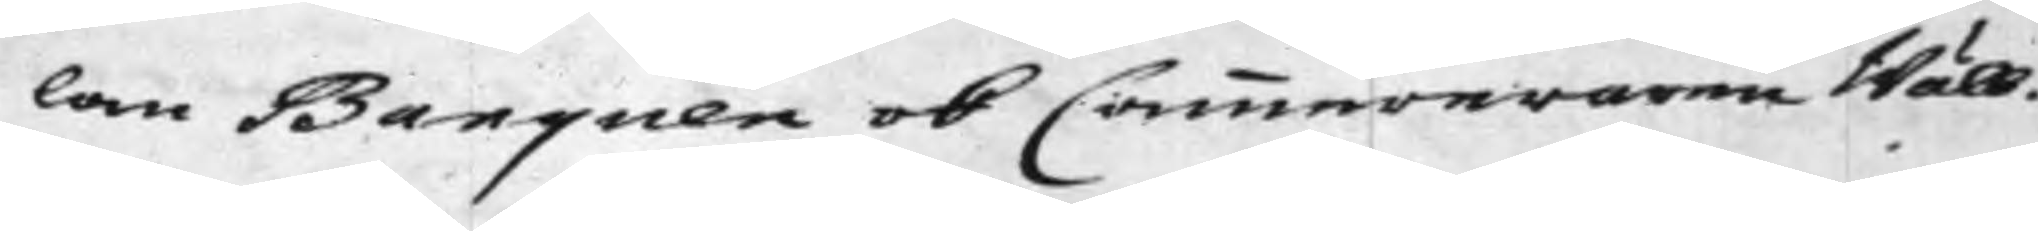lan Banquen och Cammereraren Wäll.
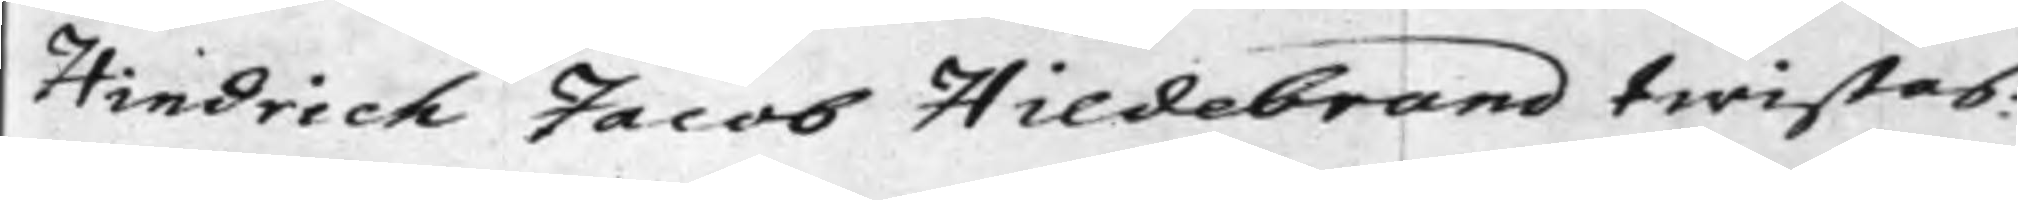Hindrich Jacob Hildebrand twistas:
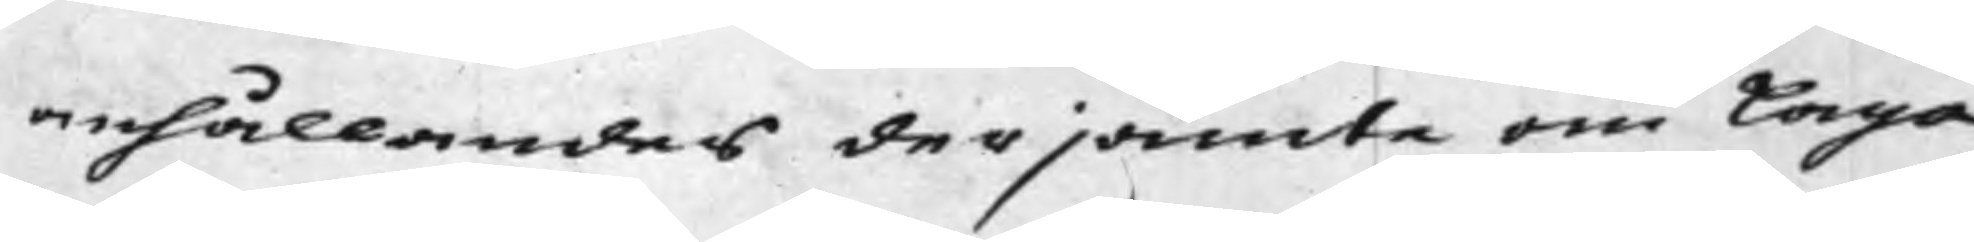anhållandes derjämte om Laga
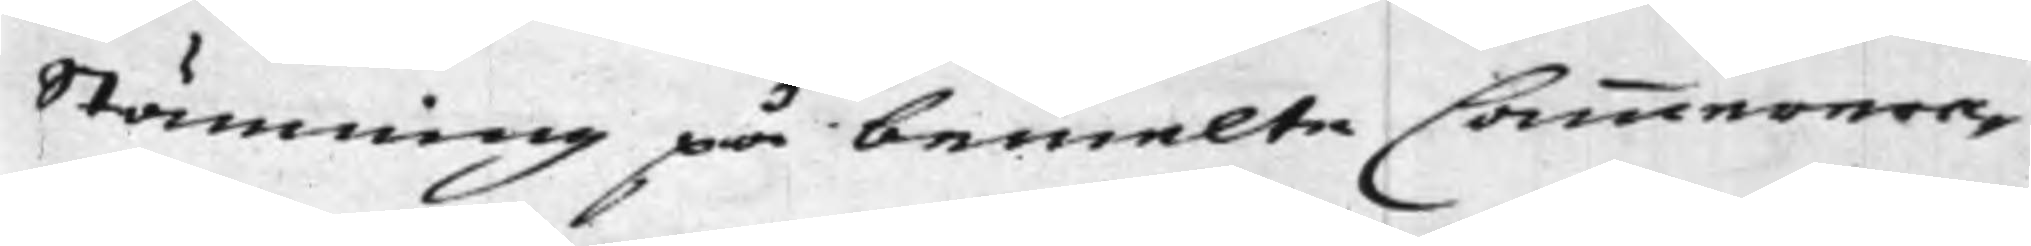Stämning på bemelte Camerera¬
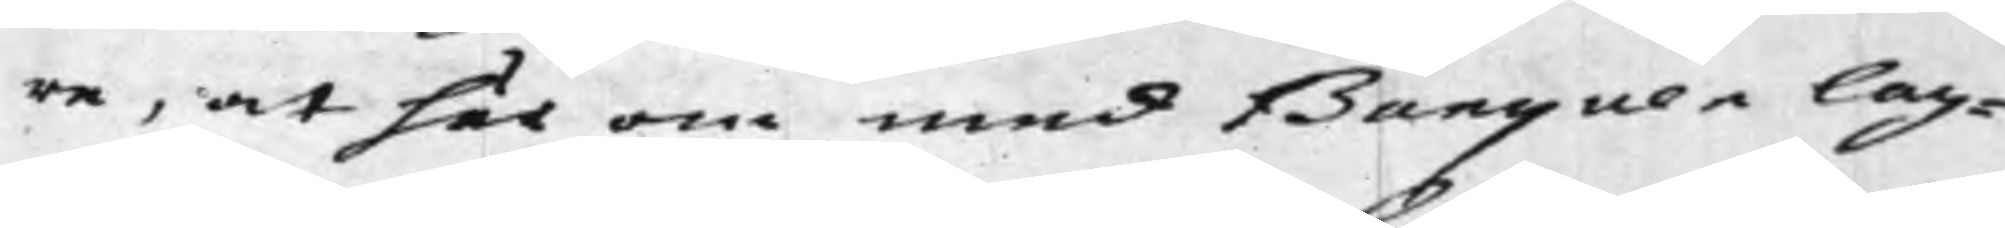re, at här om med Banquen lag¬
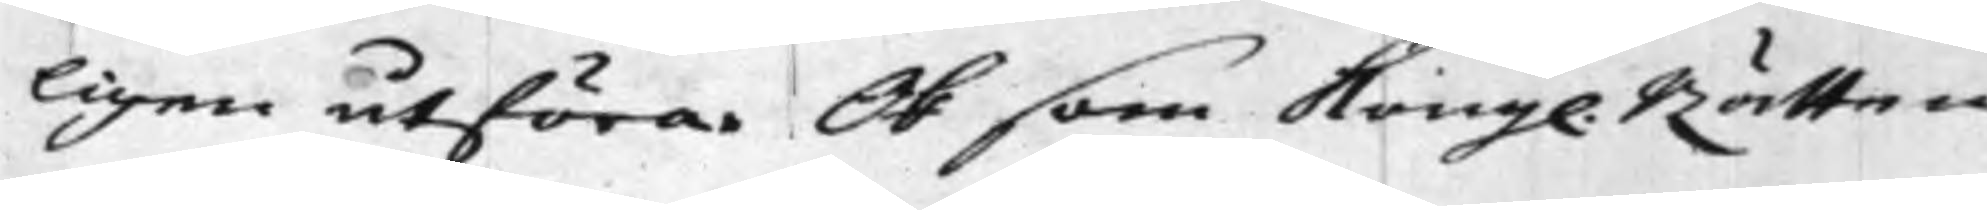ligen utföra. Och som Kongl. Rätten
